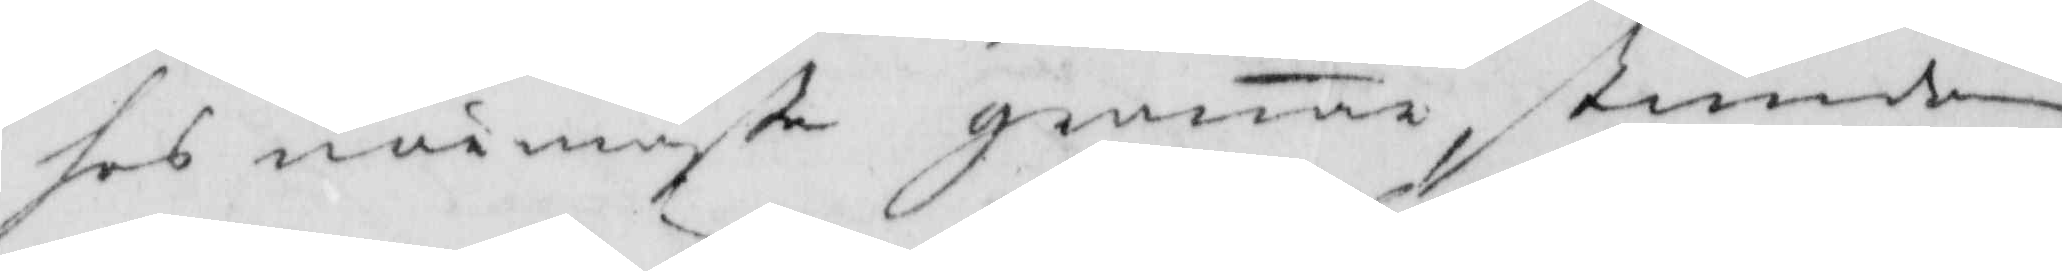hos närmaste grannar, stundom
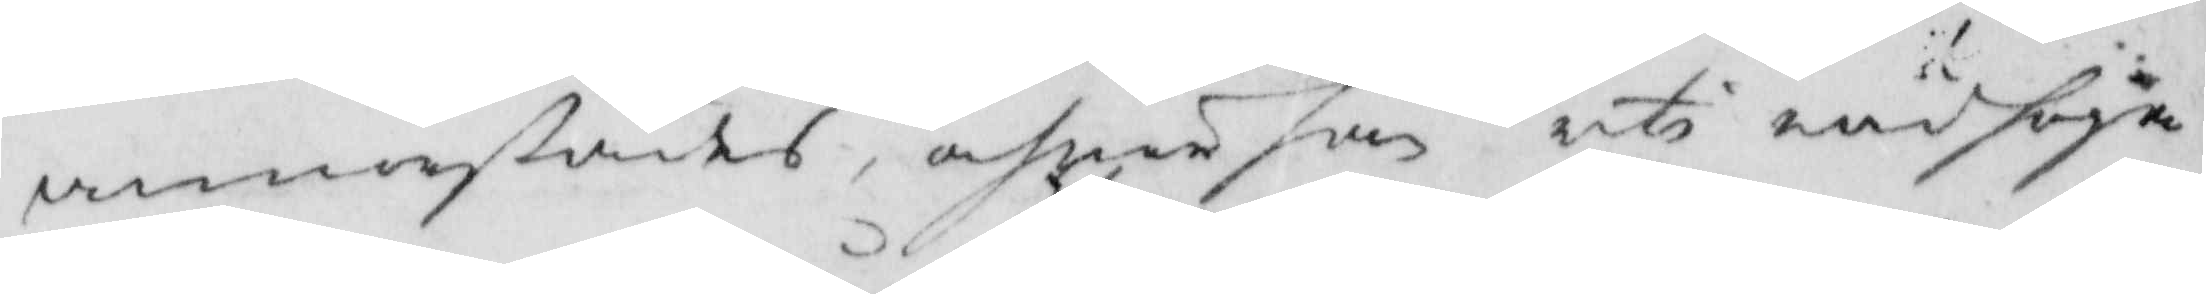annorstädes, och när han uti nödhöja
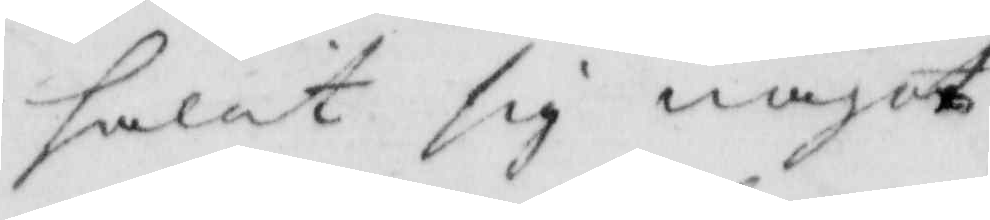hålit sig något
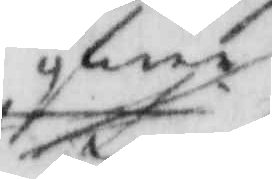öfwer
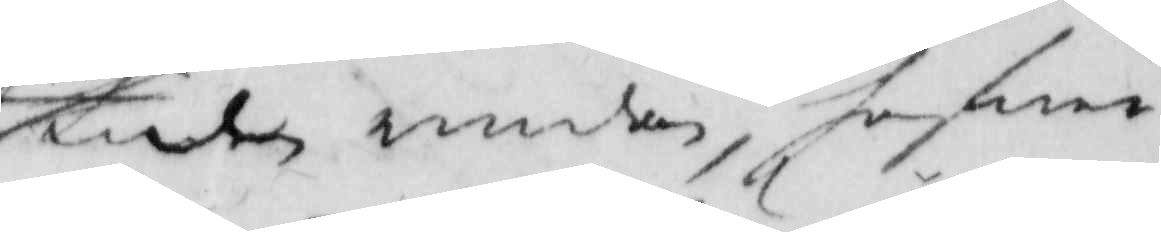tiden emedan, hotare
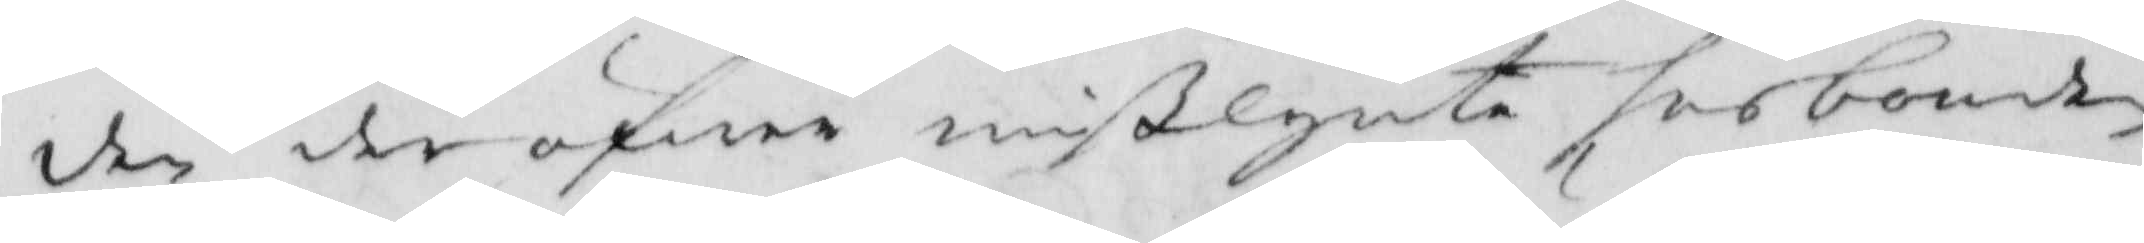den der öfwer mißlynte husbonden
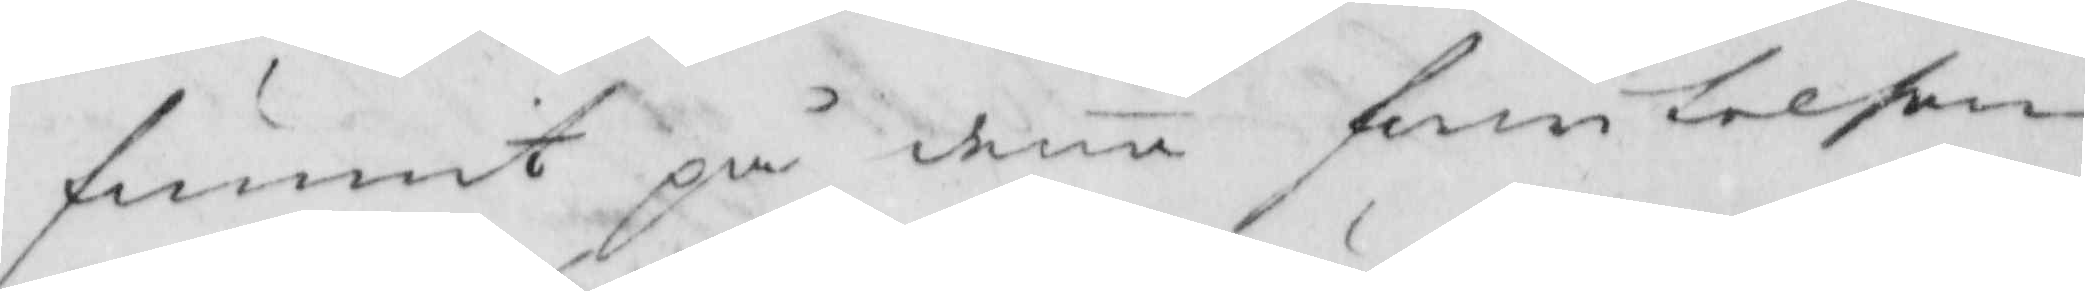funnit på denna frestelsen
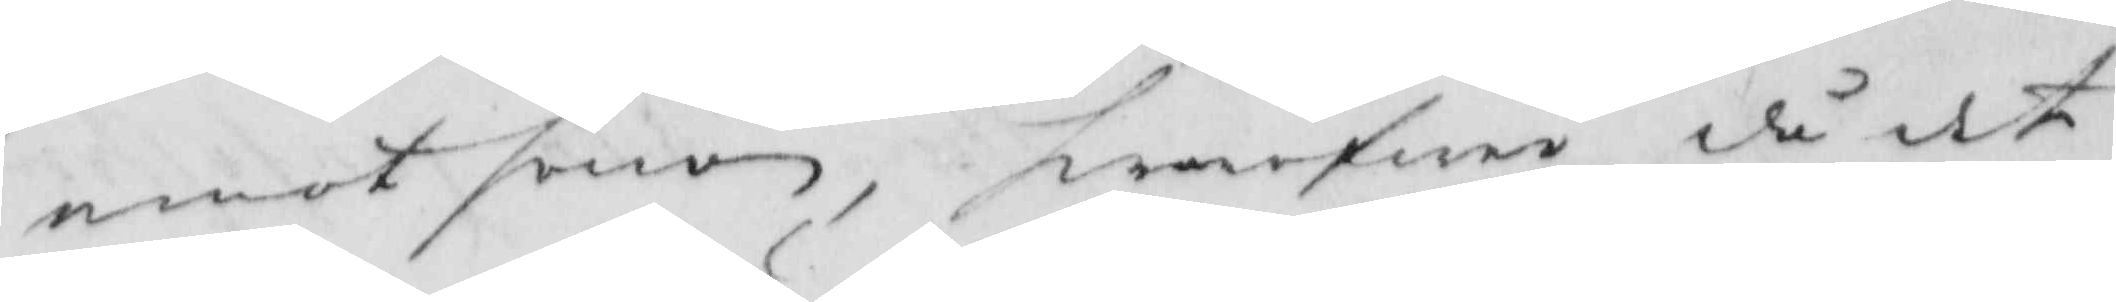emot honom, hwarföre då det
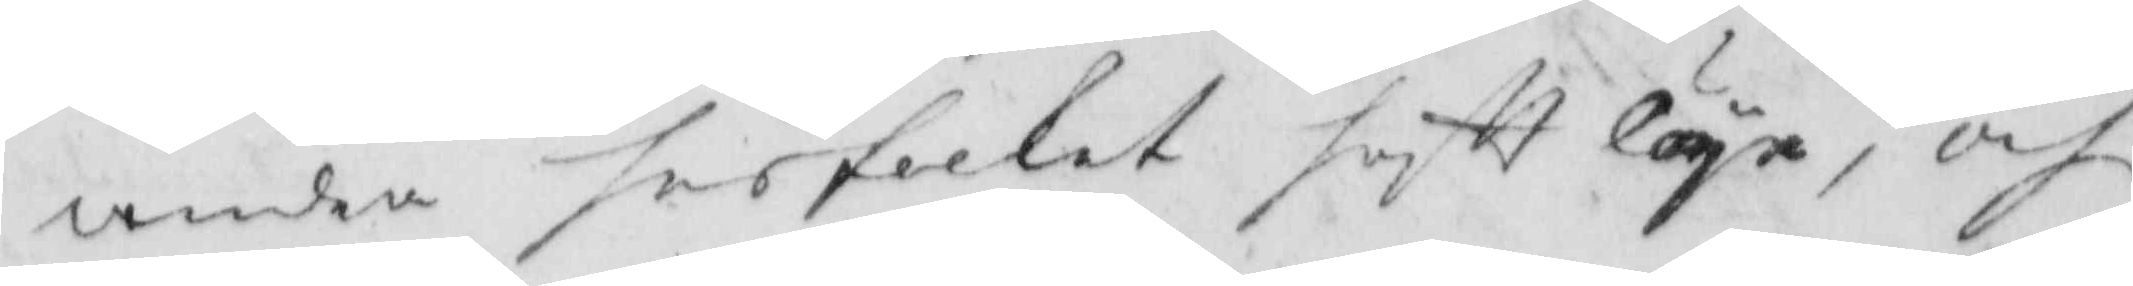andra husfolket haftt läge, och
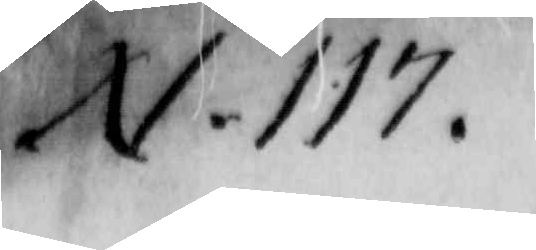N. 117
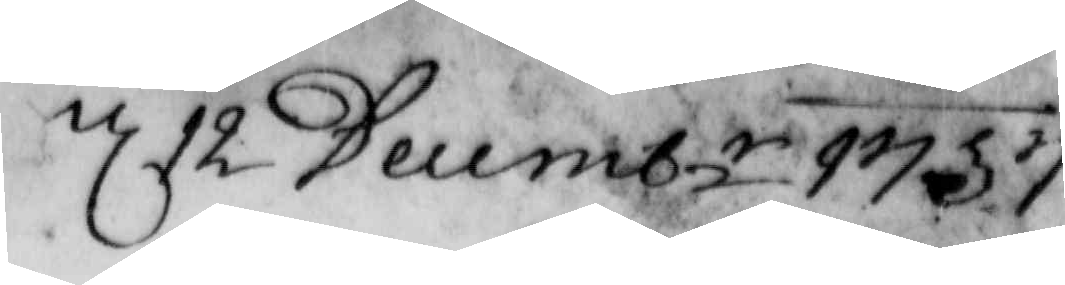d 12 Decem.r 1757
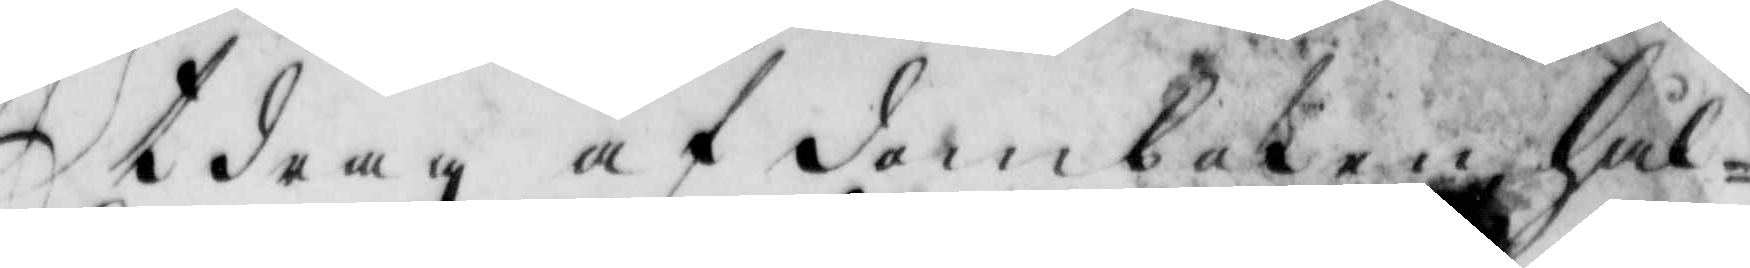Utdrag af domboken Hål¬
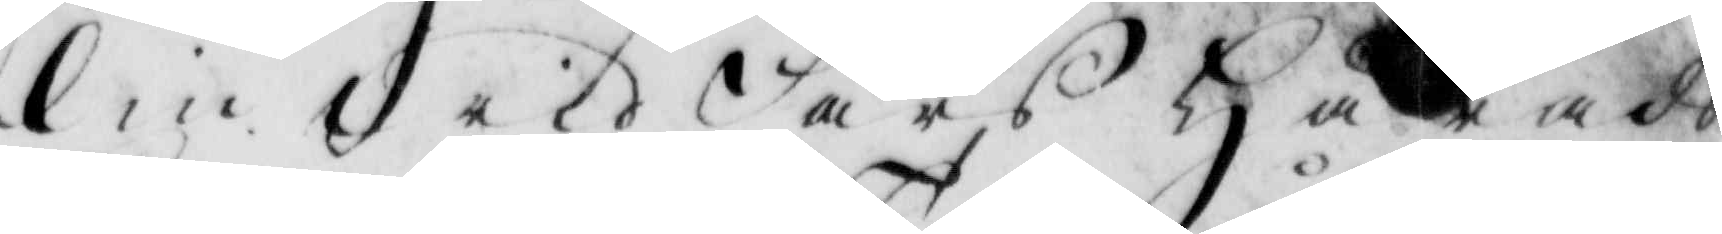lin wid Fårs Härads
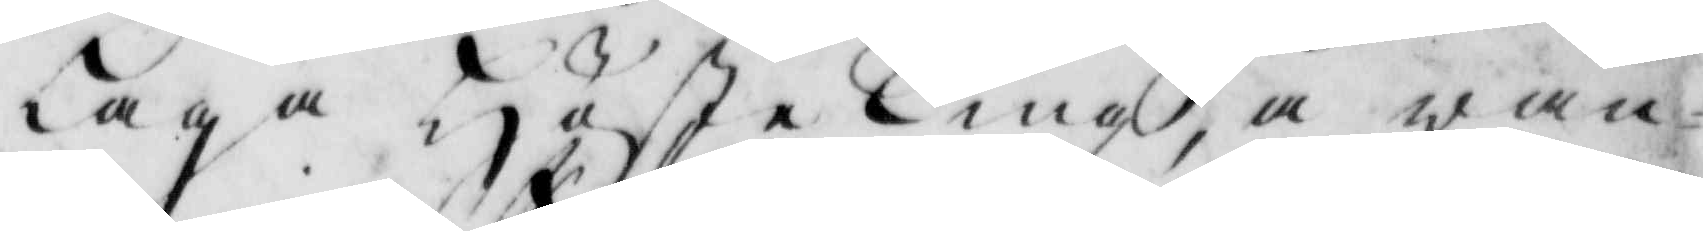Laga HösteTing, å wan¬
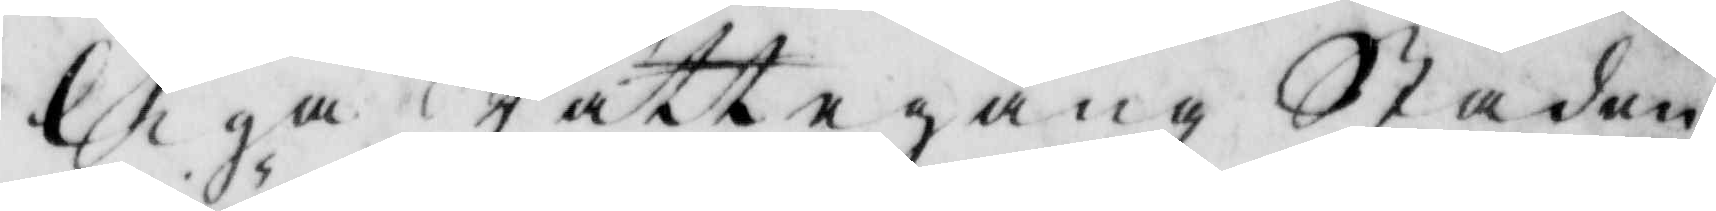liga Rättegång Staden
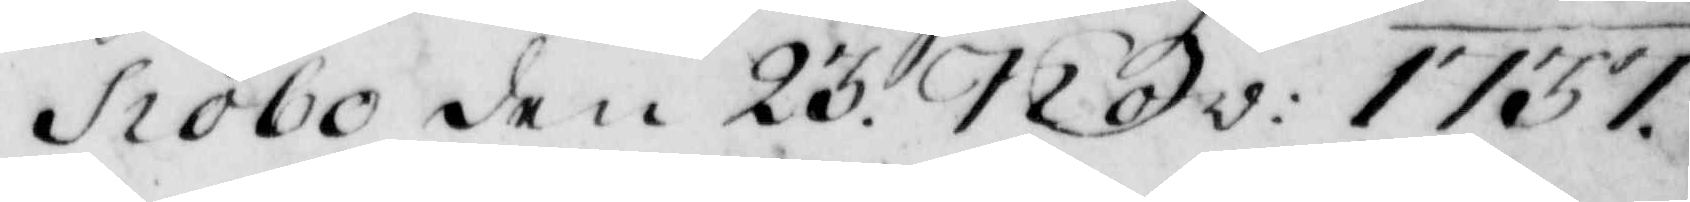Siöbo den 23 Nov: 1757
